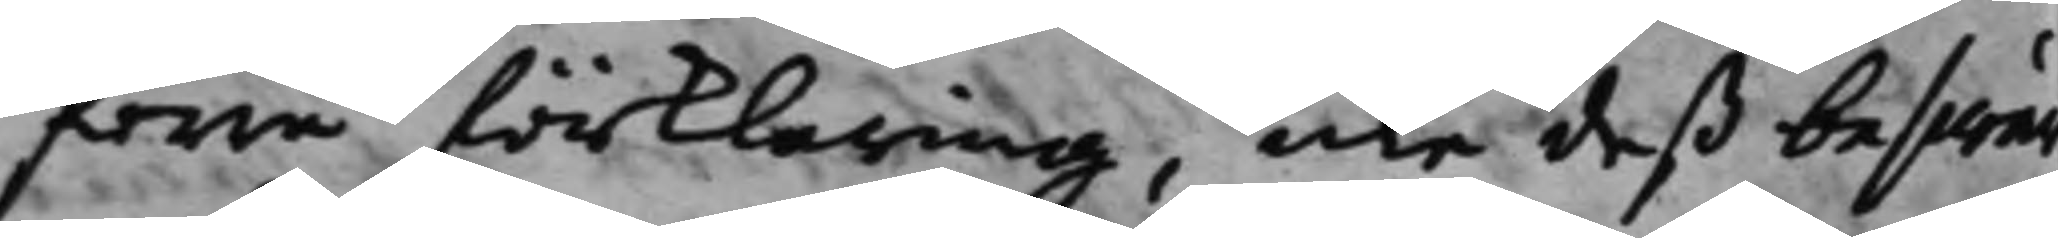förre förklaring, icke deß beswär
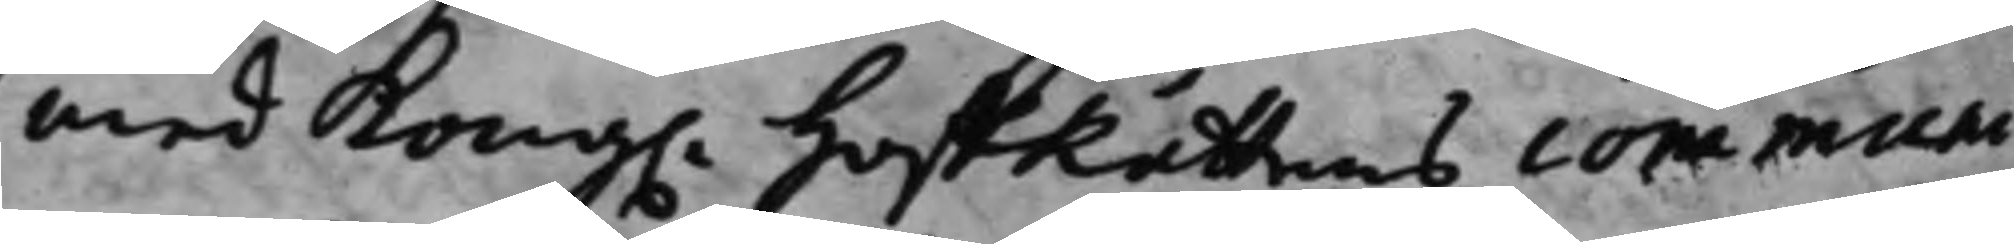med Kong. HoffRättens communi¬
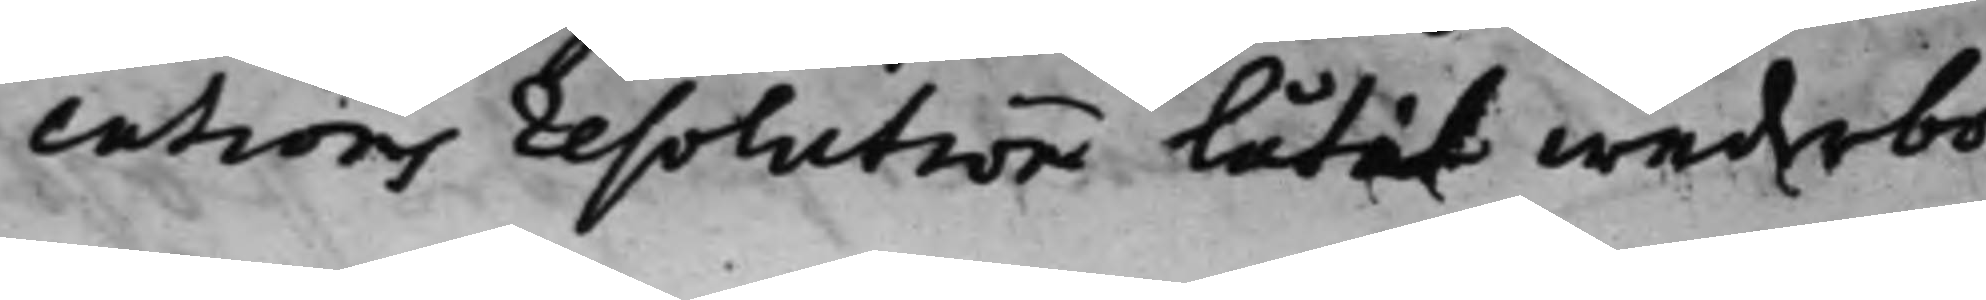cations resolution låtit wederbö¬
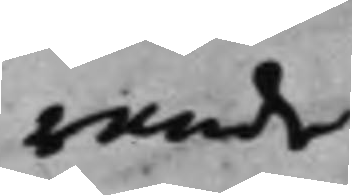rande
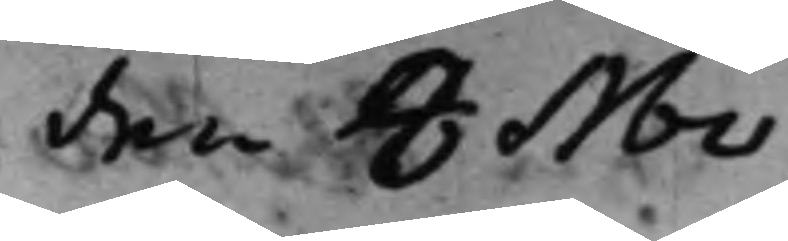den 8 Nov.
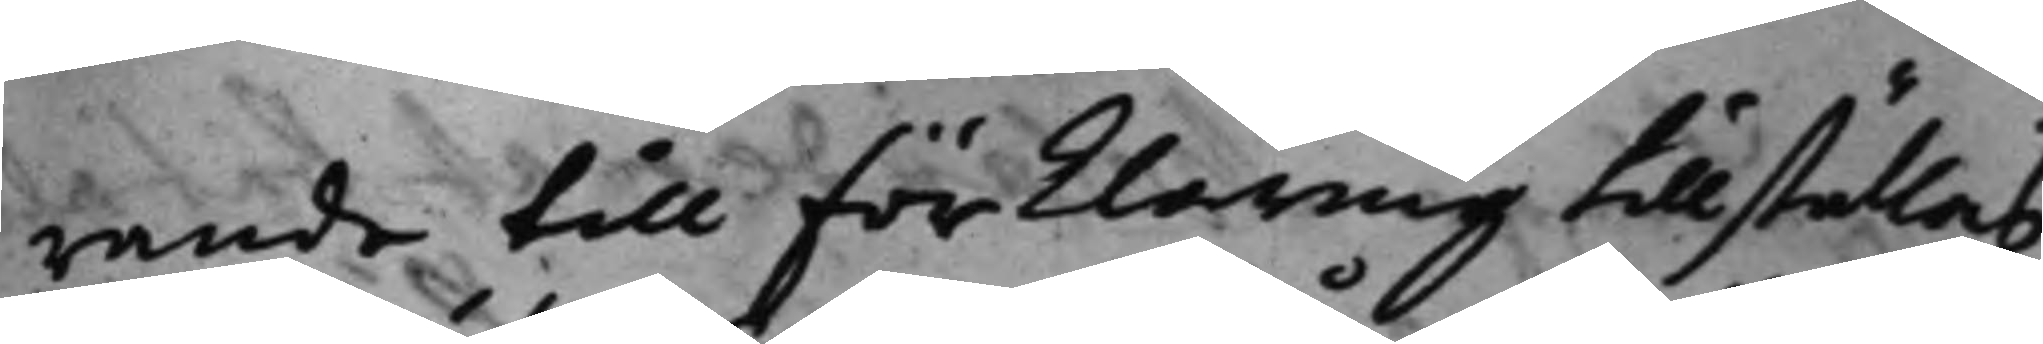rande till förklaring tillställas
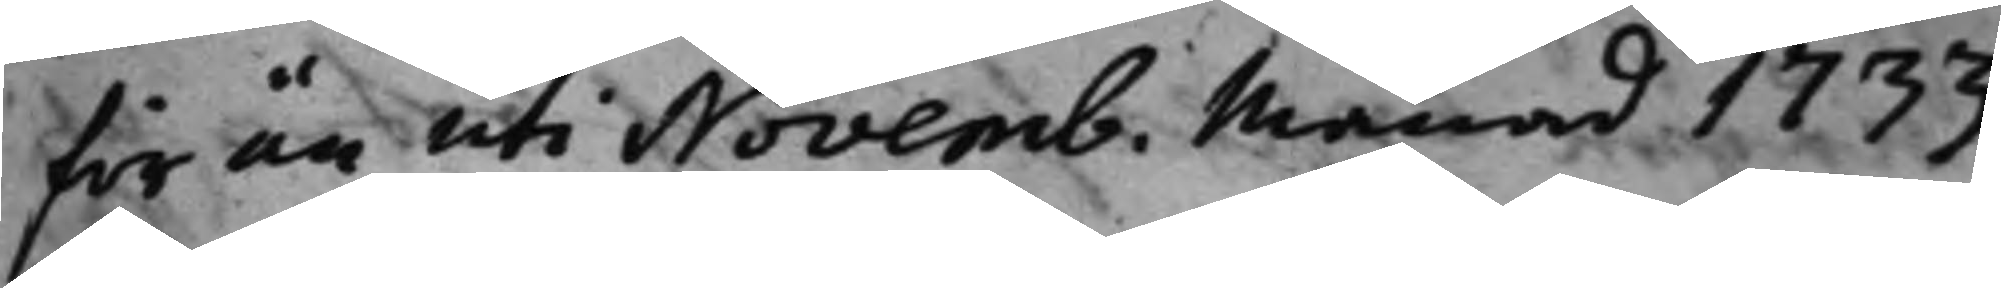för än uti Novemb. Månad 1733
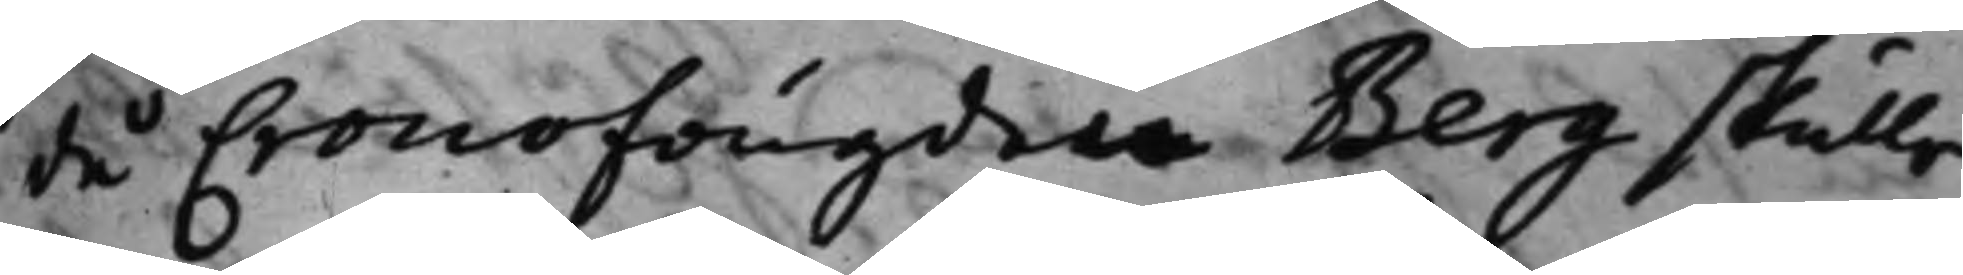då Cronofougde Berg skulle
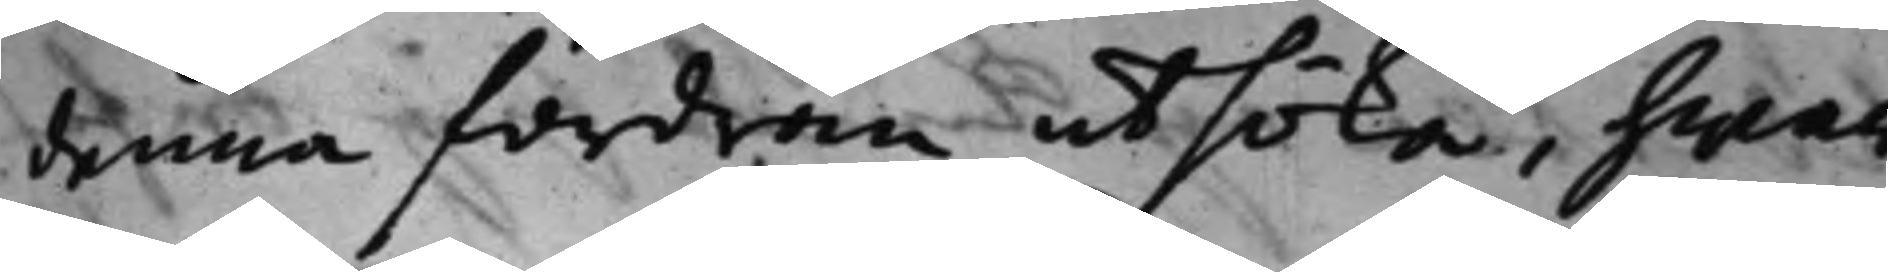denna fordran utsöka, hwar¬
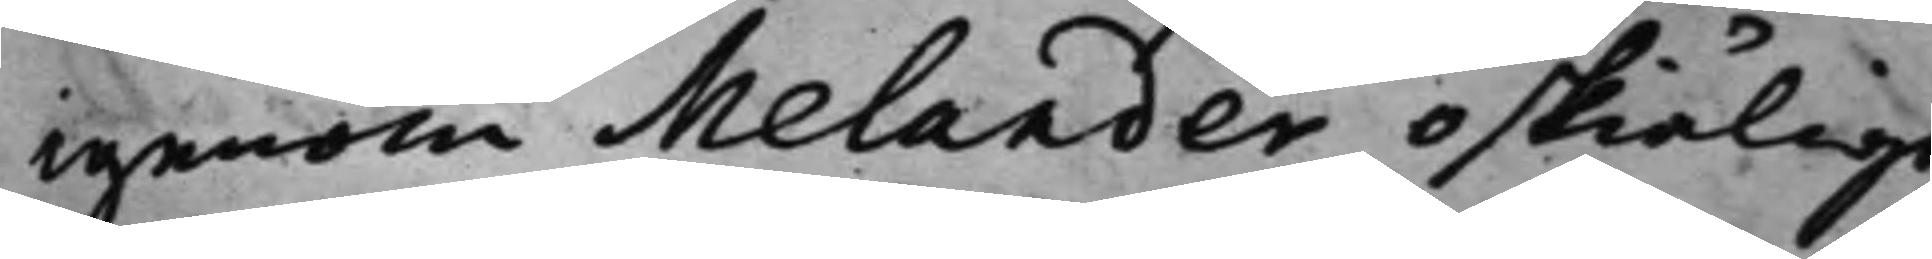igenom Melander oskiäligt
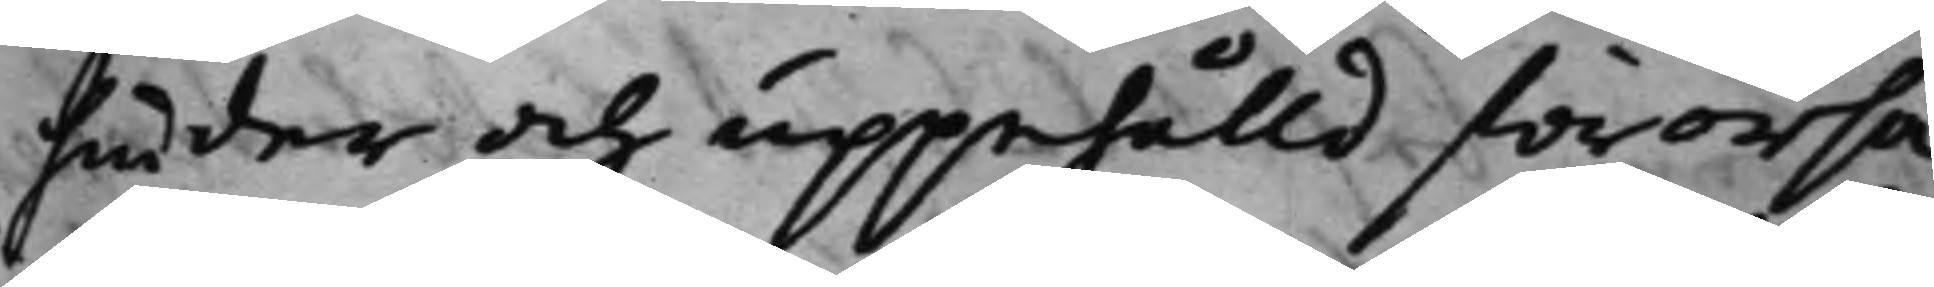hinder och uppehålld förorsa¬
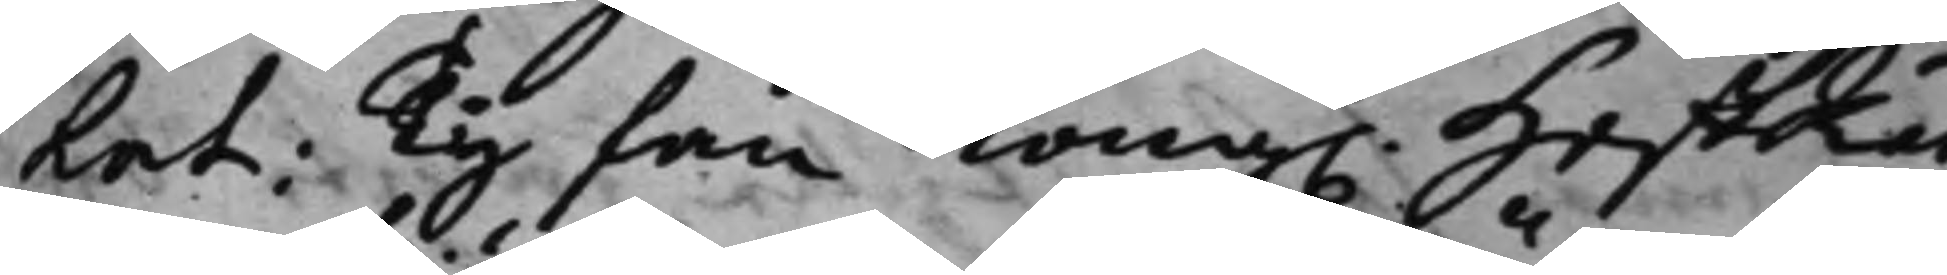kat: Ty fan Kong. HoffRät¬
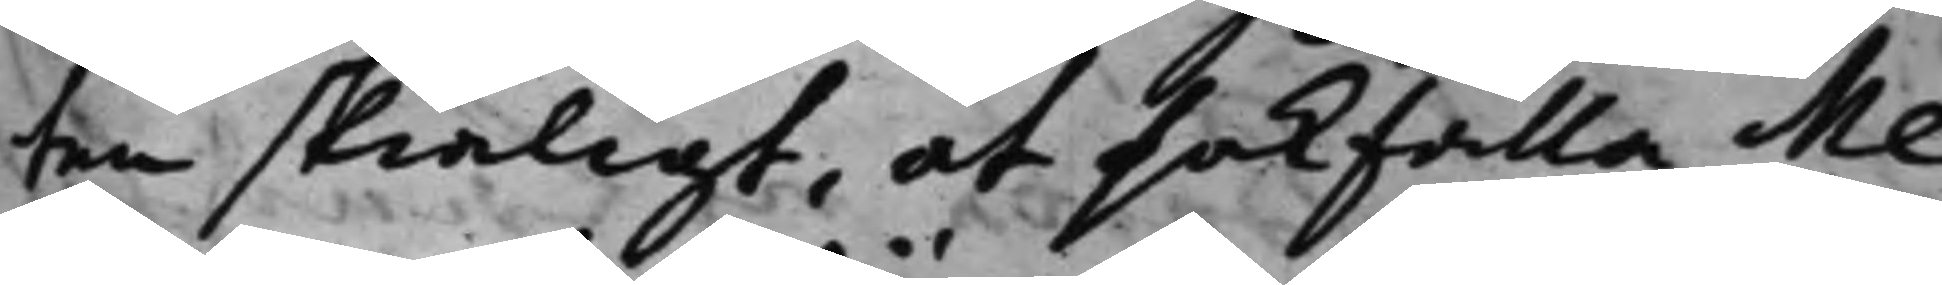ten skiäligt, at sakfälla Me¬
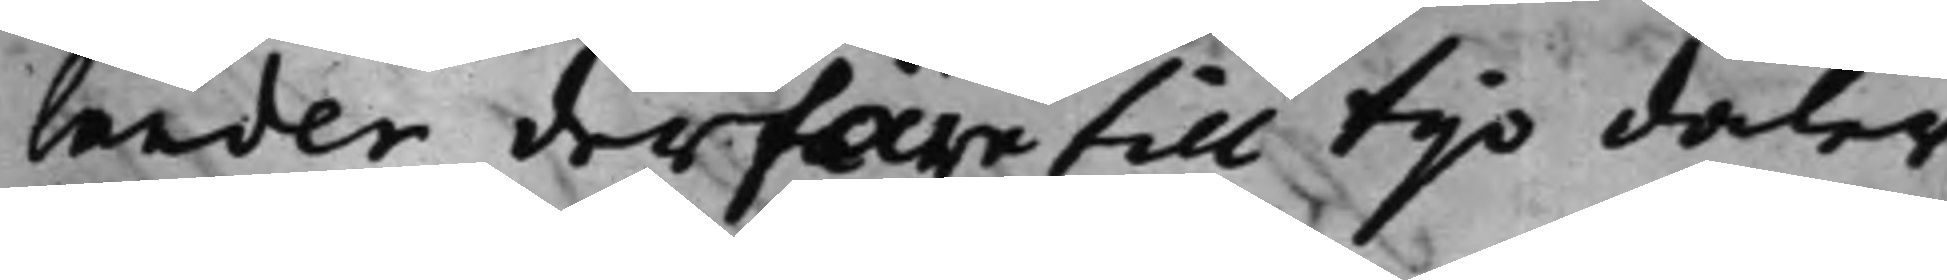lander derföre till tijo daler
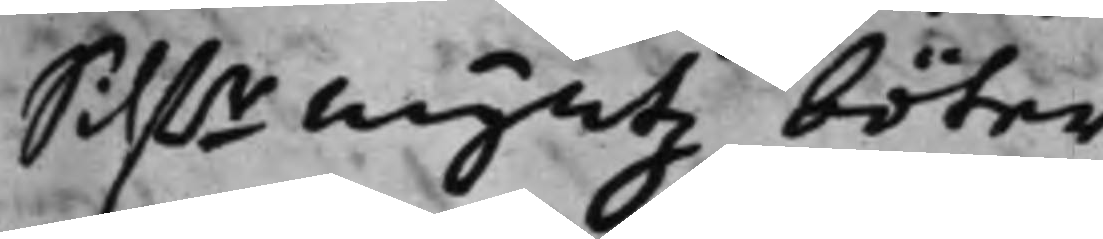Silf.rmyntz böter.
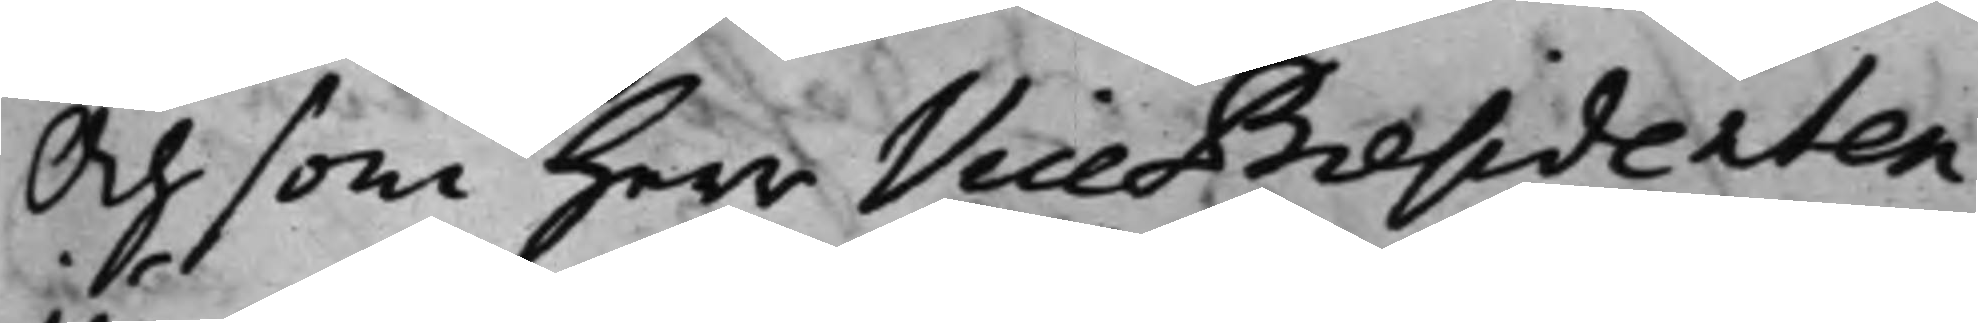Och som Herr Vice Praesidenten
